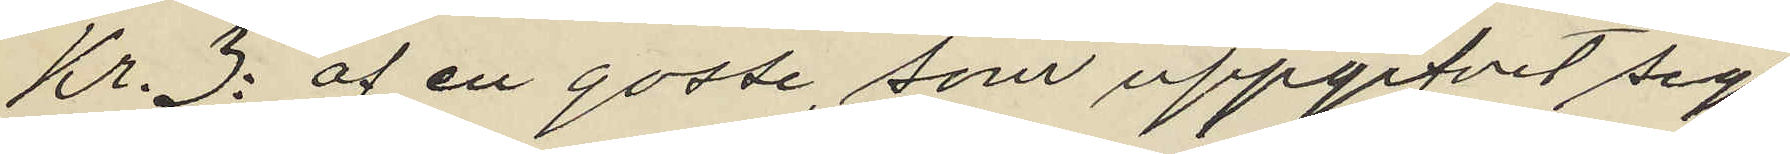Kr. 3: af en gosse som uppgifvit sig
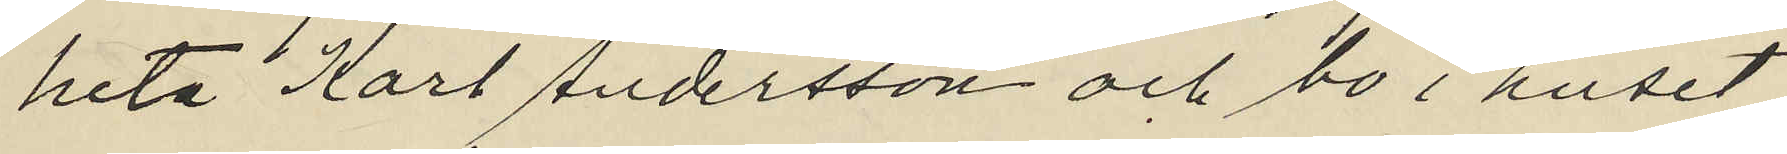heta Karl Andersson och bo i huset
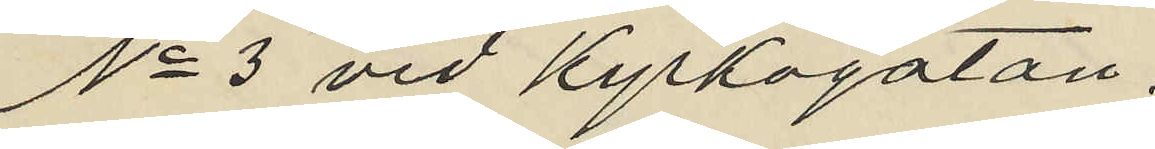No 3 vid Kyrkogatan;
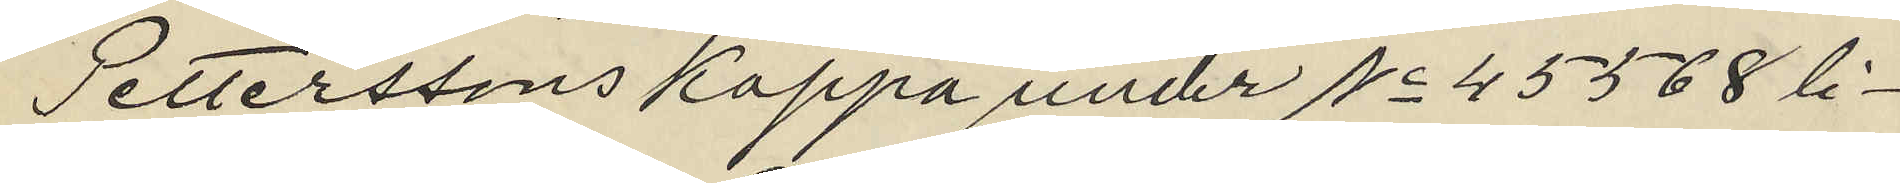Petterssons kappa under No 45568 li¬
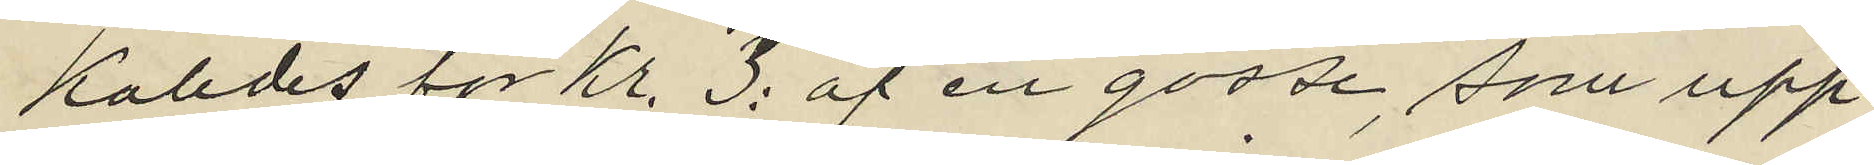kaledes för Kr. 3: af en gosse, som upp¬
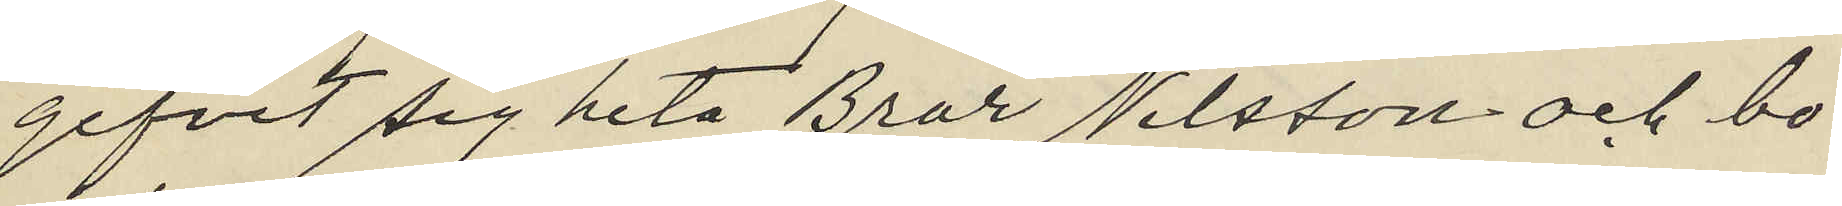gifvit sig heta Bror Nilsson och bo
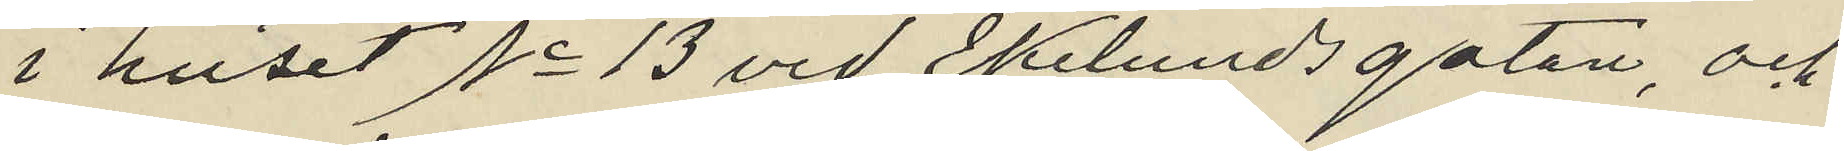i huset No 13 vid Ekelundsgatan, och
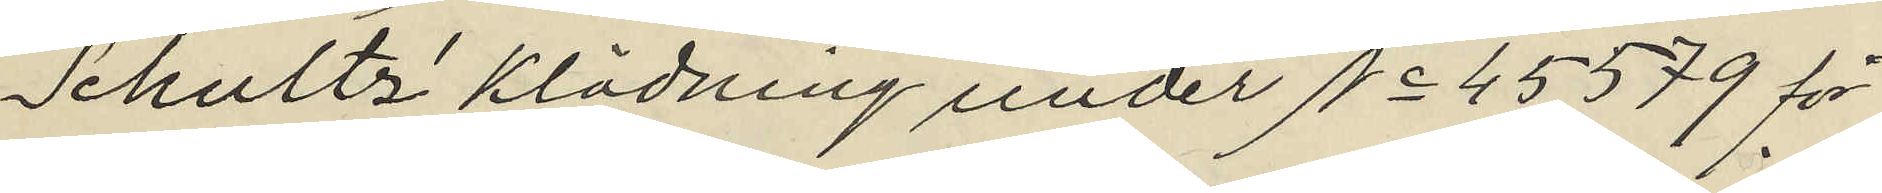Schultz´ klädning under No 45579 för
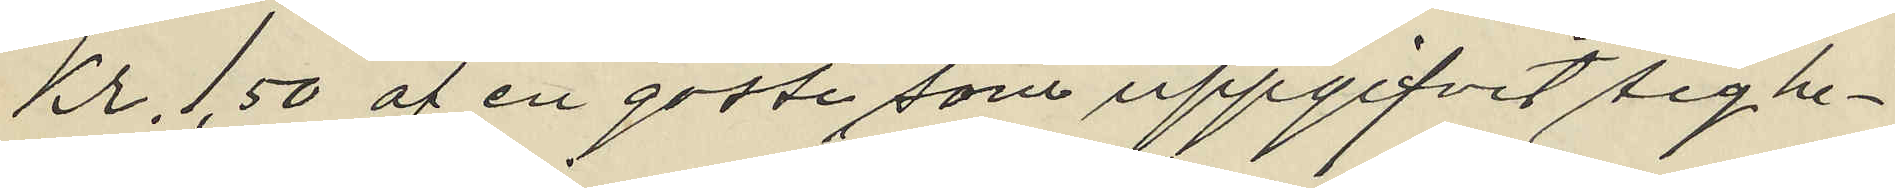Kr. 1,50 af en gosse som uppgifvit sig he¬
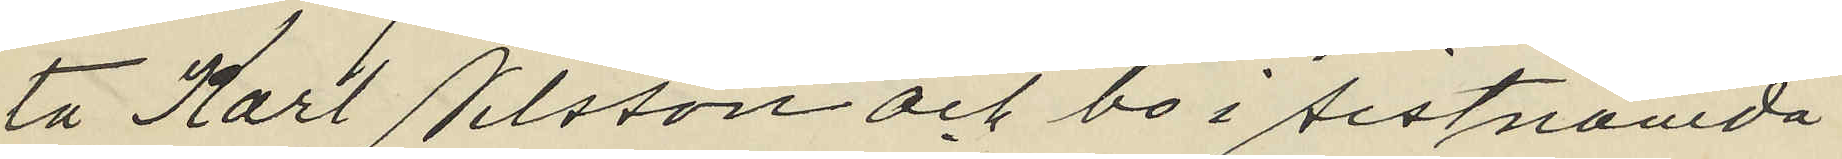ta Karl Nilsson och bo i sistnämda
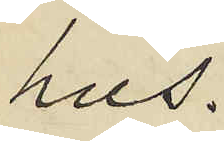hus.
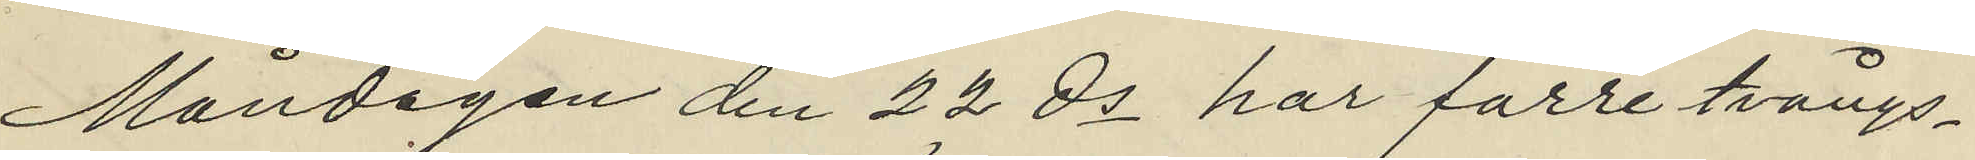Måndagen den 22 ds har förre tvångs¬
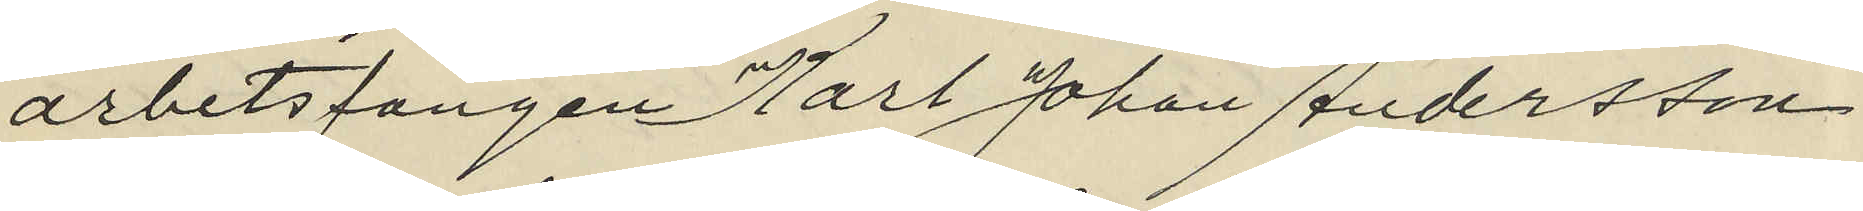arbetsfången Karl Johan Andersson
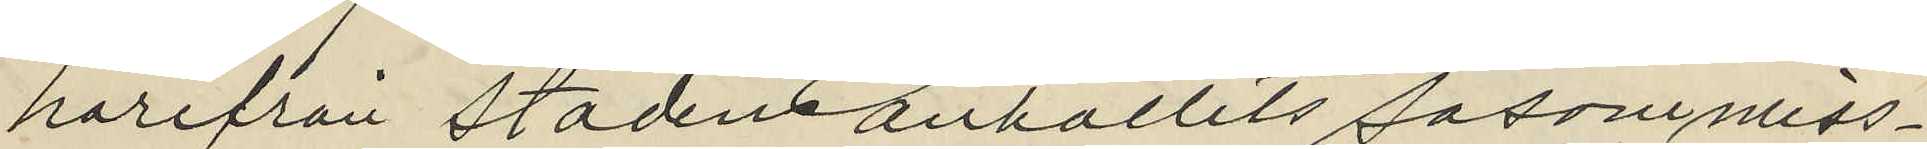härifrån staden anhållits såsom miss¬
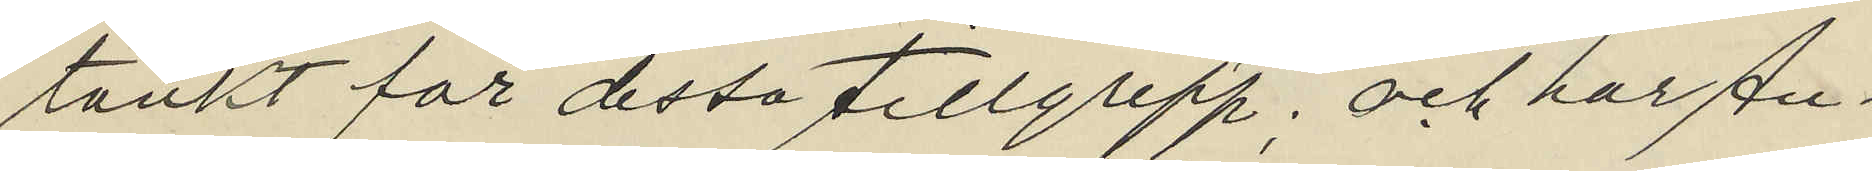tänkt för dessa tillgrepp; och har An¬
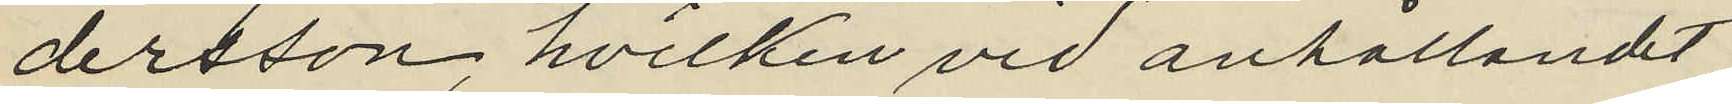dersson, hvilken vid anhållandet
